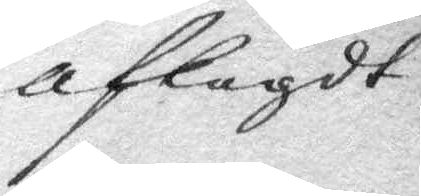aflagdt
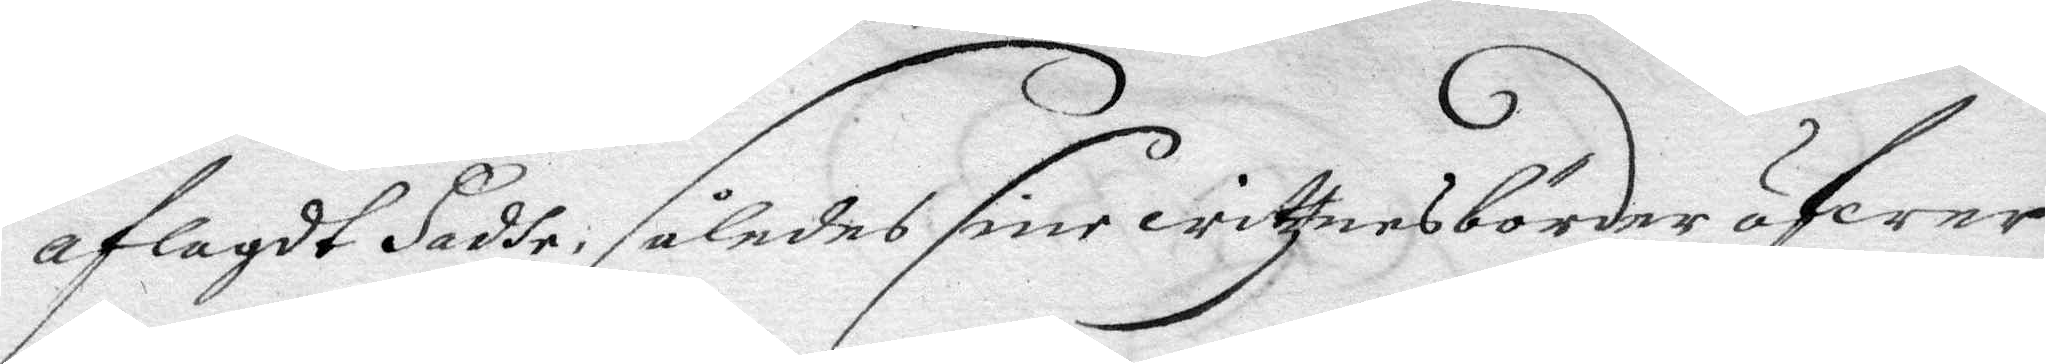aflagdt Hadde, således sine wittznesbörder öfwer
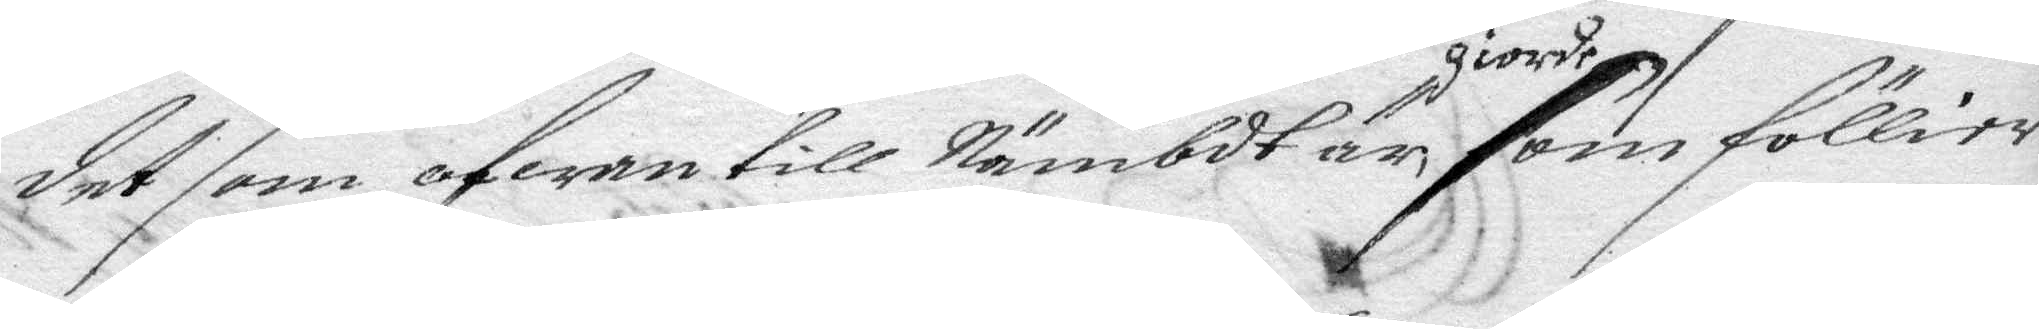det som ofwan till Nämbdt är giorde som föllier.
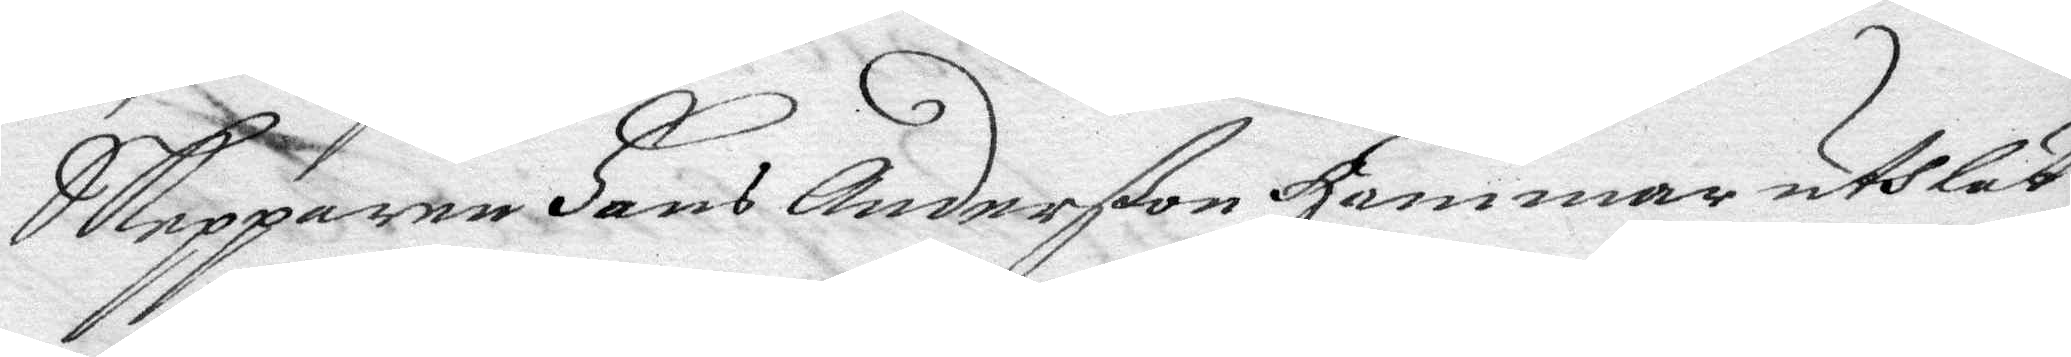Skepparen Hans Anderßon Hammar utslut
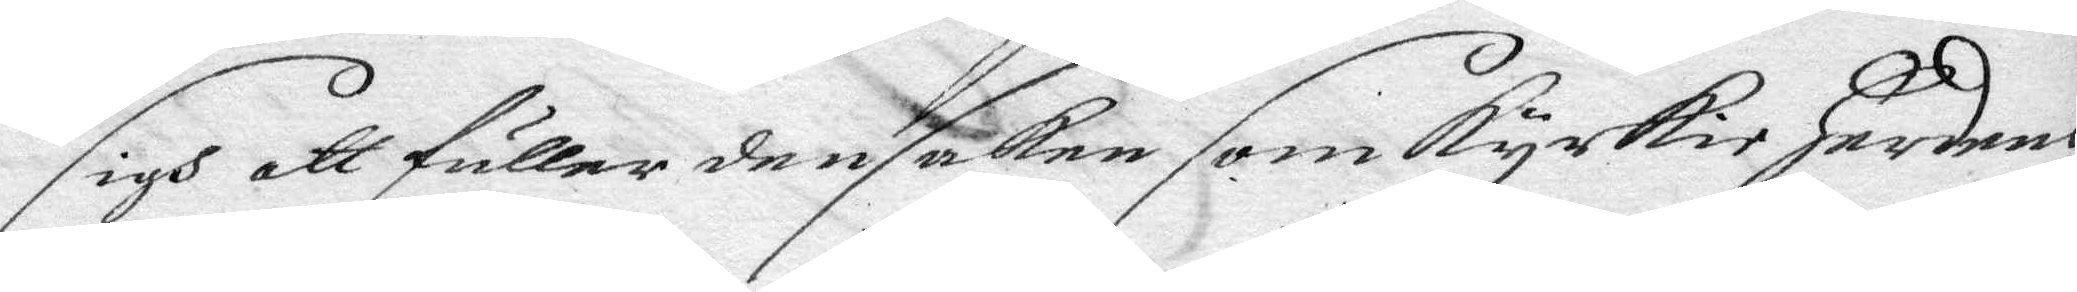sigh att fuller den saken som kyrkio Herdens
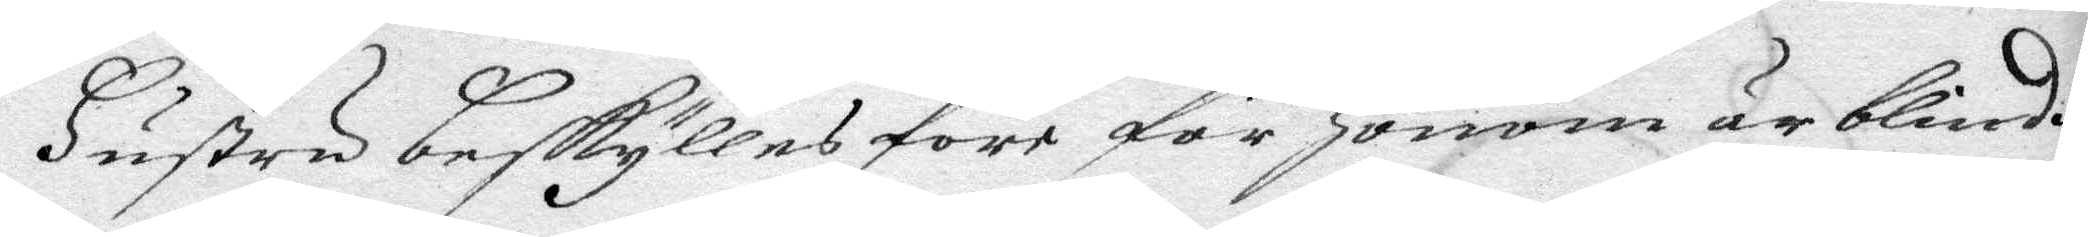Hustru beskylles före för Honom är blindh,
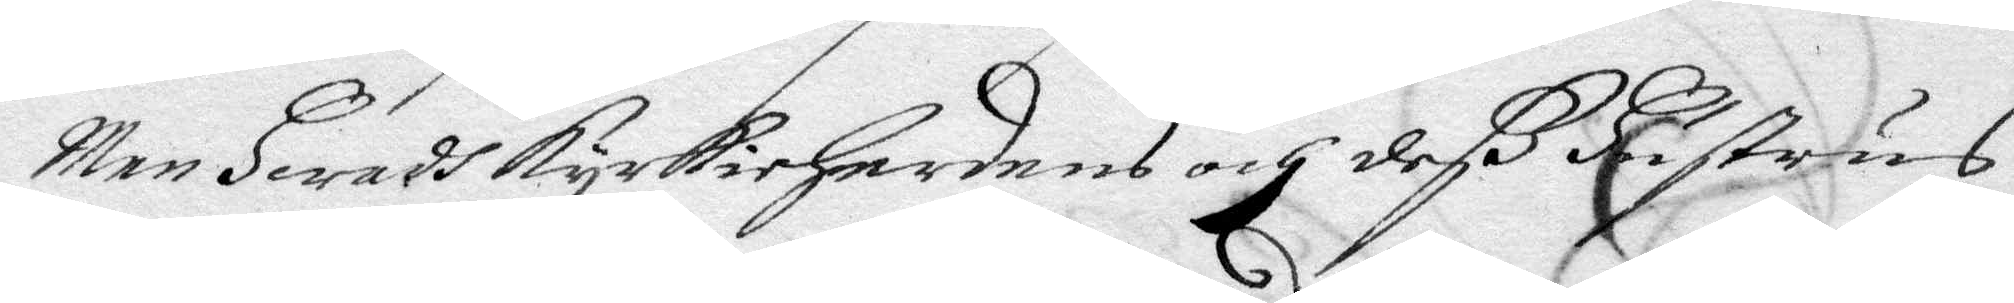Men Hwadh kyrkioHerdens och deß Hustris
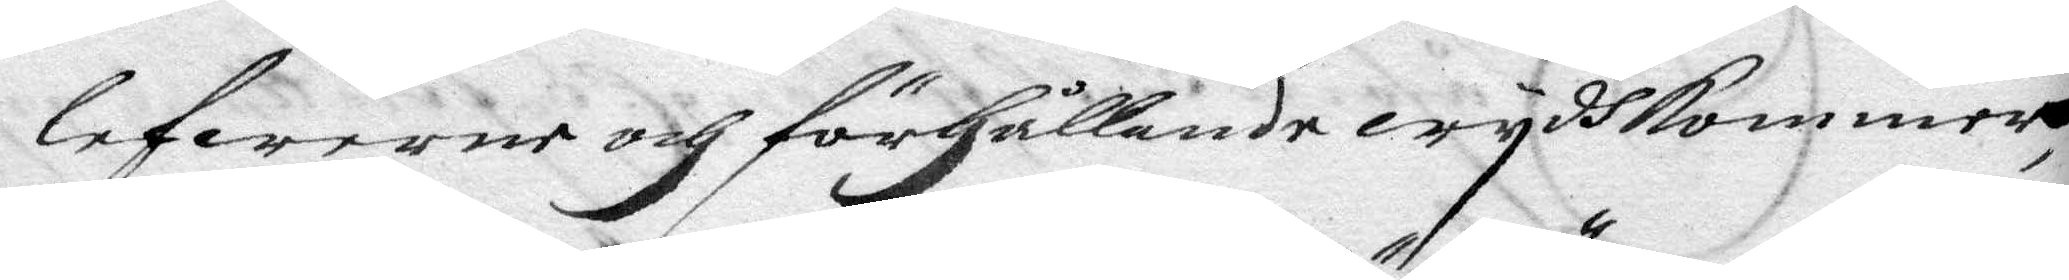lefwerne och förhållande wydhkommer
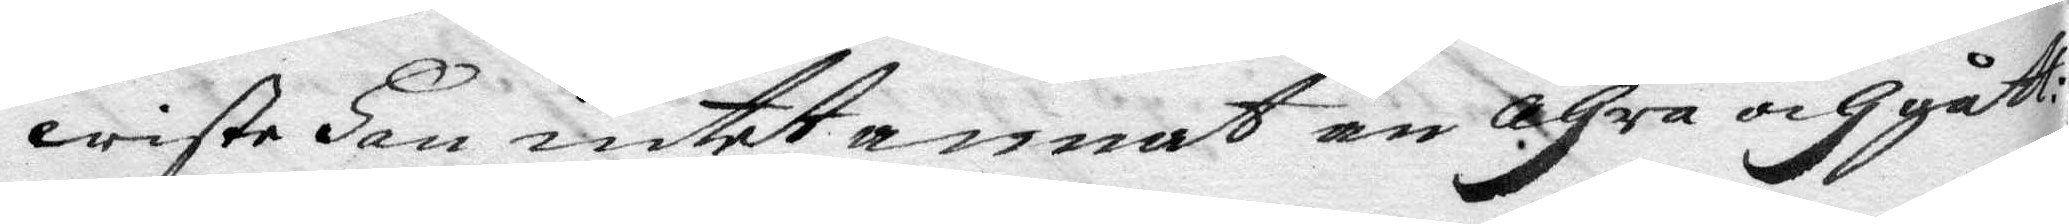wiste Han intett annat än ähra och gått:
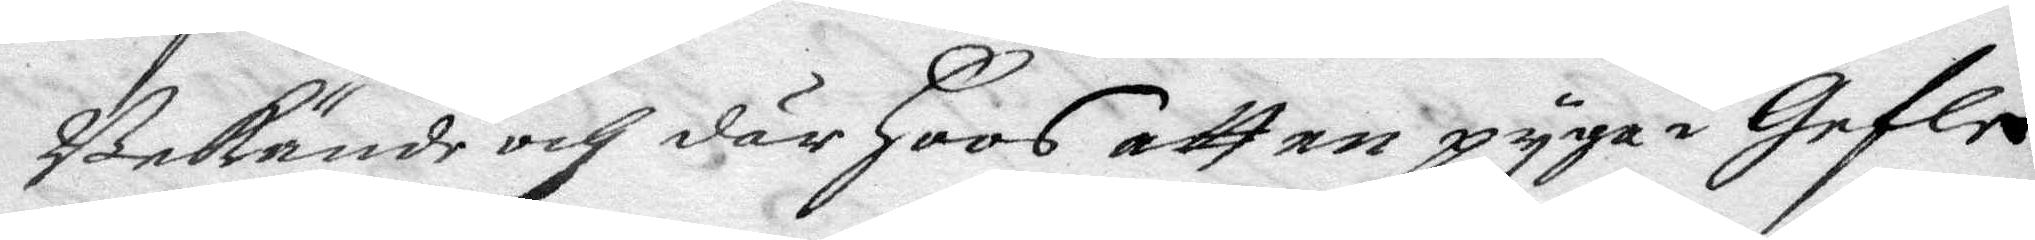Bekände och där Hoos att en pyga i Gefle
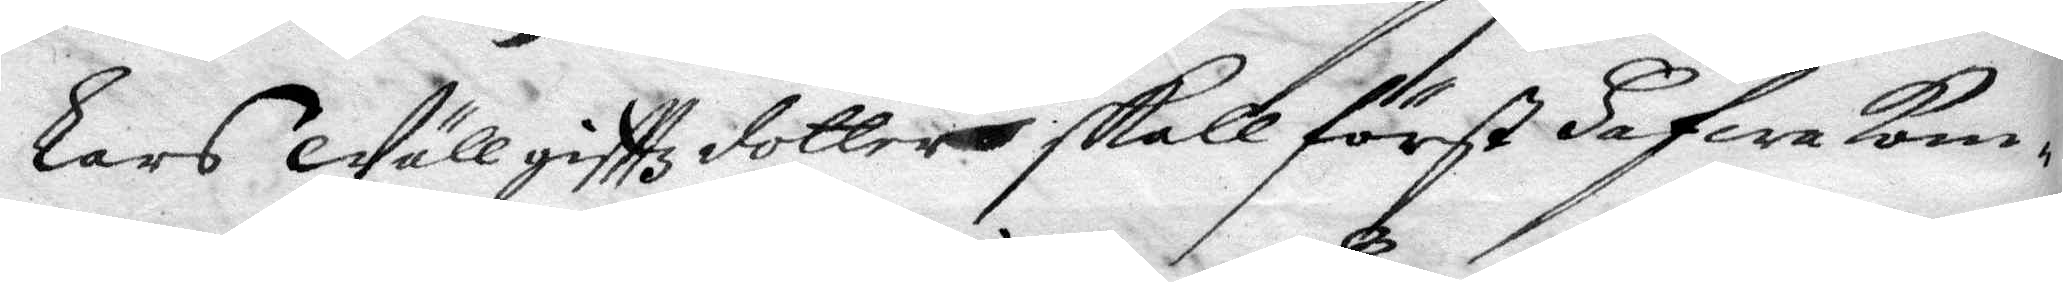Lars Wällgifttz dotter skall först Hafwa Kom¬
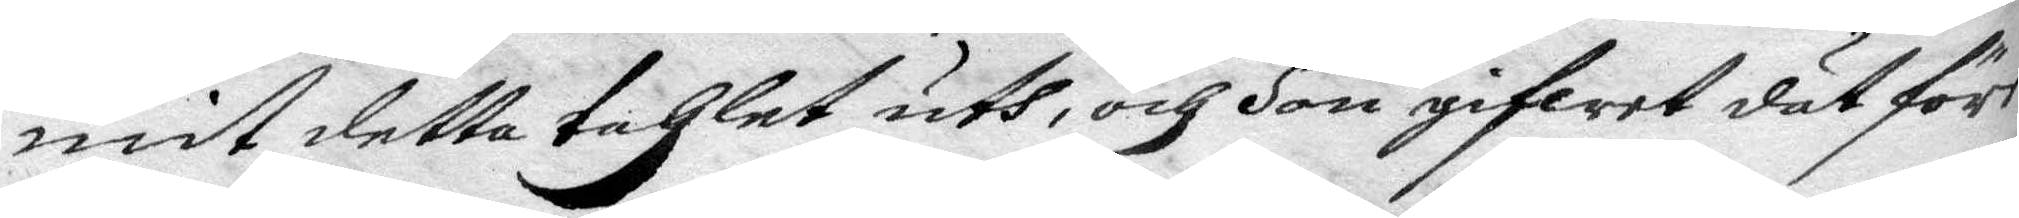mit detta tahlet uth, och Hon gifwet dät före
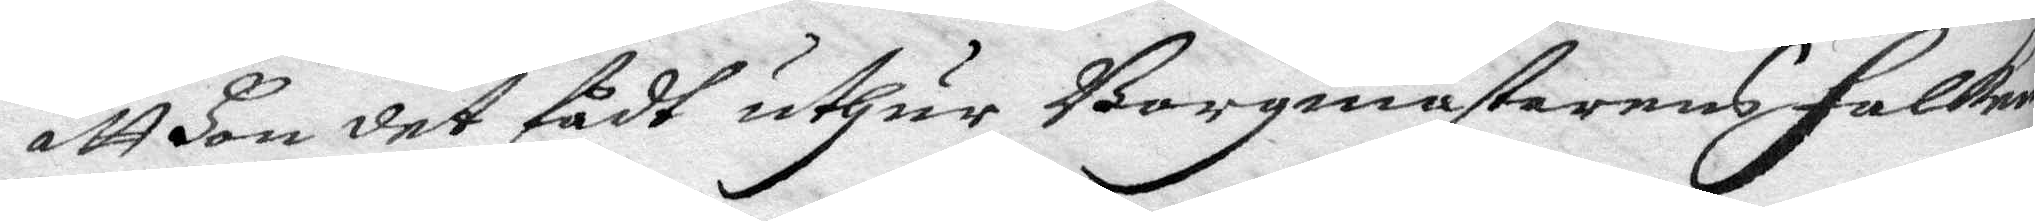att Hon det fådt uthur Borgmästarend Falkens
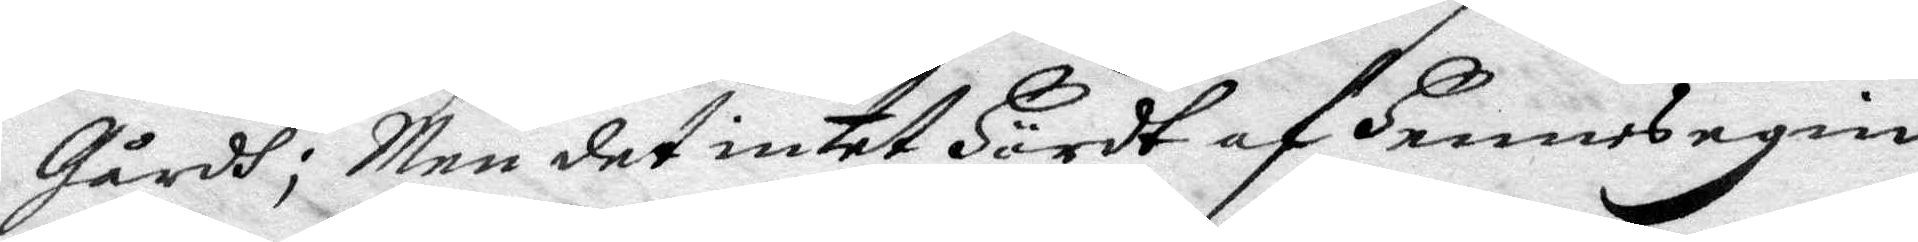Gårdh; Men det intet Hördt af Hennes egin
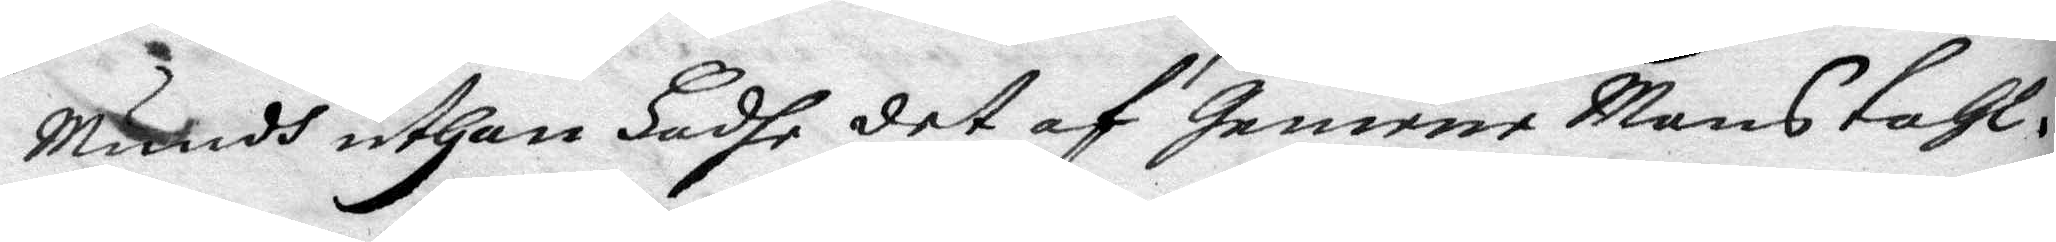Mundh uthan Hadhe det af Gemene Mans tahl.
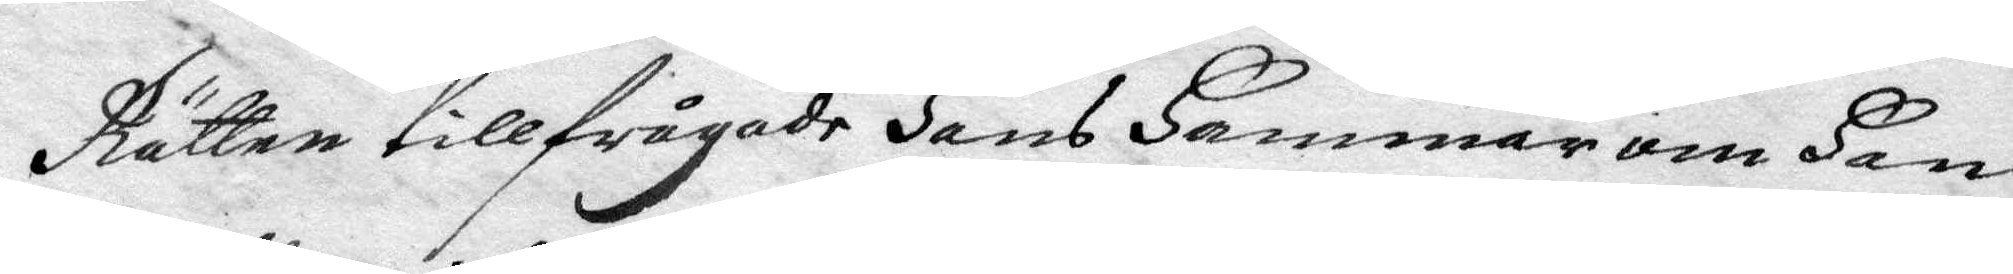Rätten tillfrågade Hans Hammar om Han
